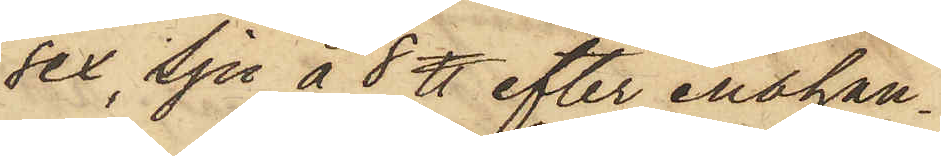sex, sju à 8 ℔ efter enahan¬
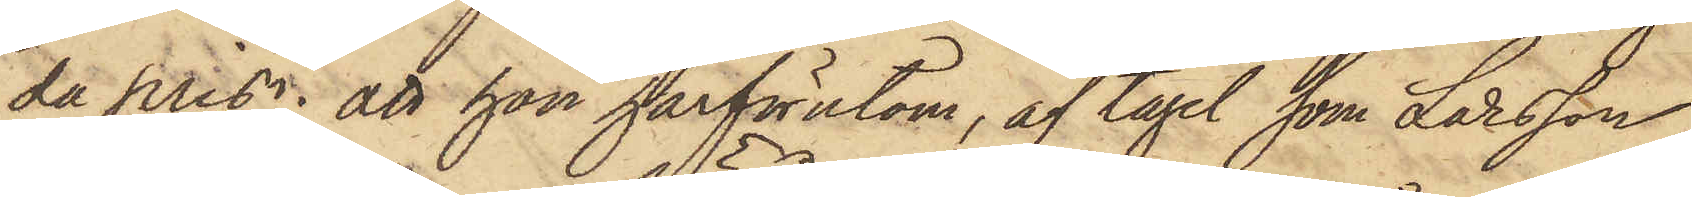da pris; att hon härförutom, af tagel, som Larsson
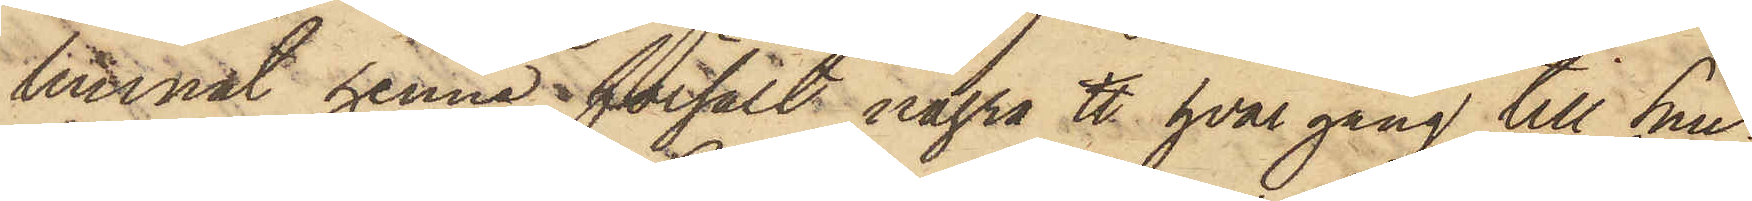lemnat henne försålt några ℔ hvar gång till Snic¬
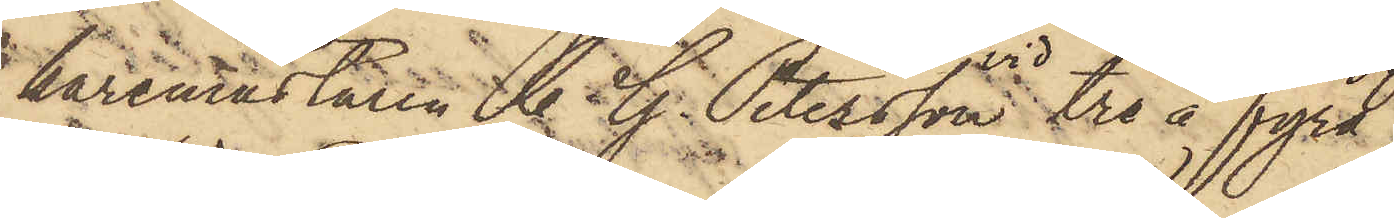karemästaren C. G. Petersson vid tre à fyra
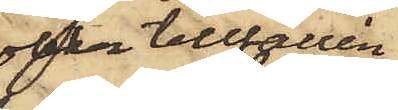olika tillfällen
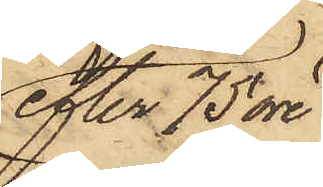efter 75 öre
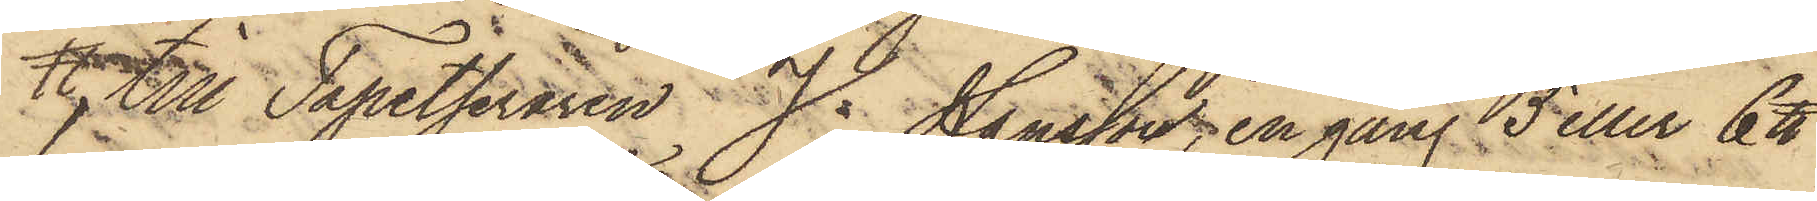℔, till Tapetseraren J. Hansson, en gång 5 eller 6 ℔
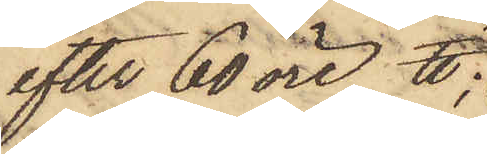efter 60 öre ℔;
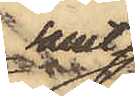samt
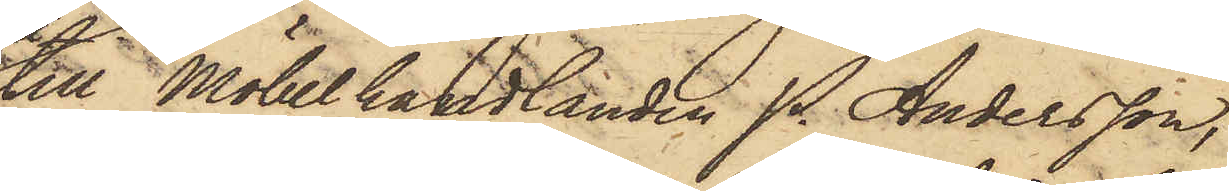till Möbelhandlanden P. Andersson,
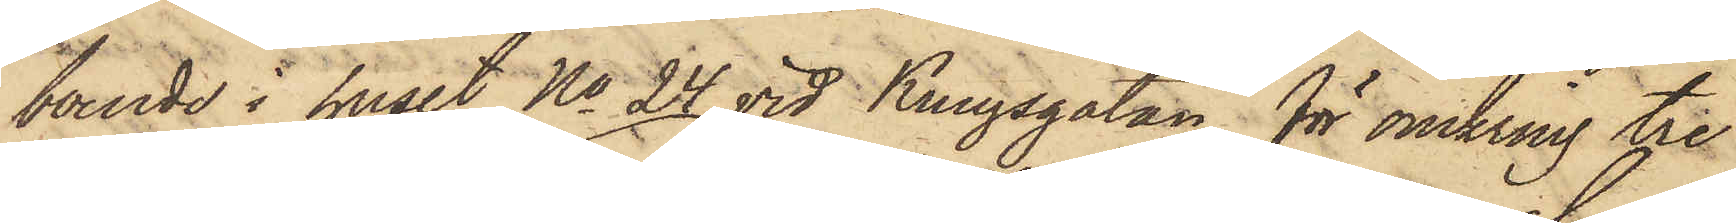boende i huset No 24 vid Kungsgatan för omkring tre
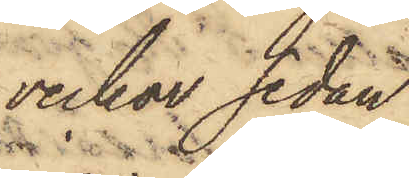veckor sedan
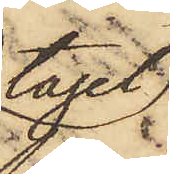tagel
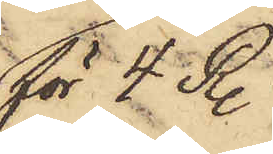för 4 R.
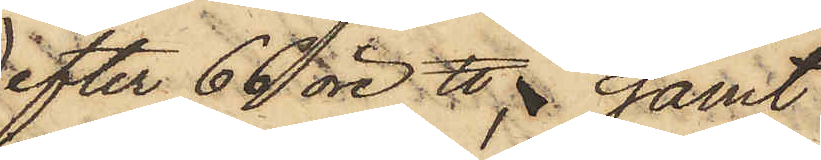efter 66 öre ℔; samt
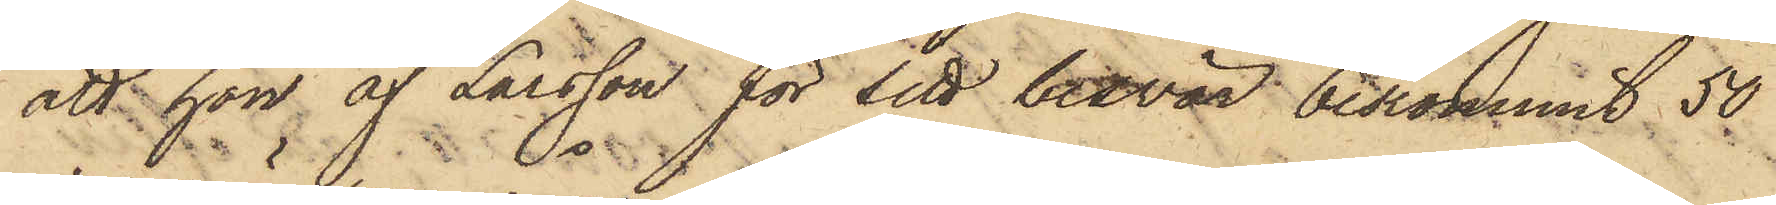att hon af Larsson för sitt besvär bekommit 50
